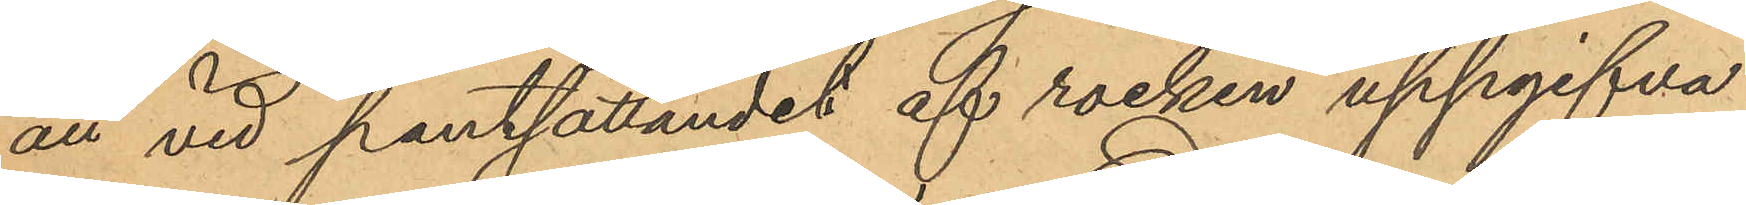att vid pantsättandet af rocken uppgifva
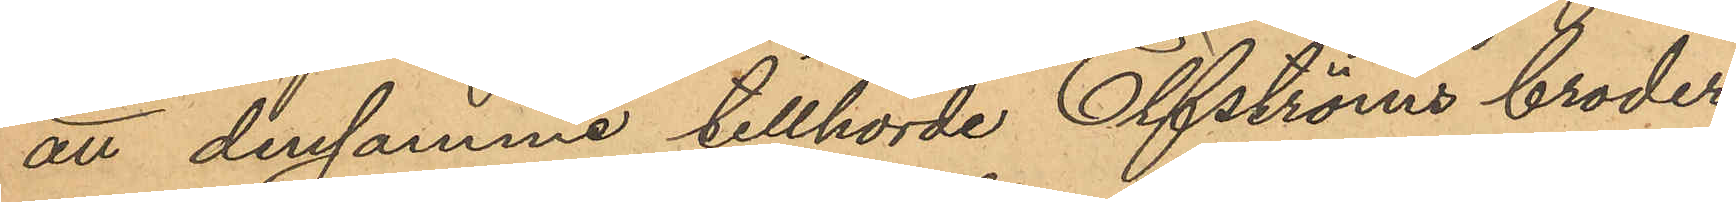att densamma tillhörde Elfströms broder,
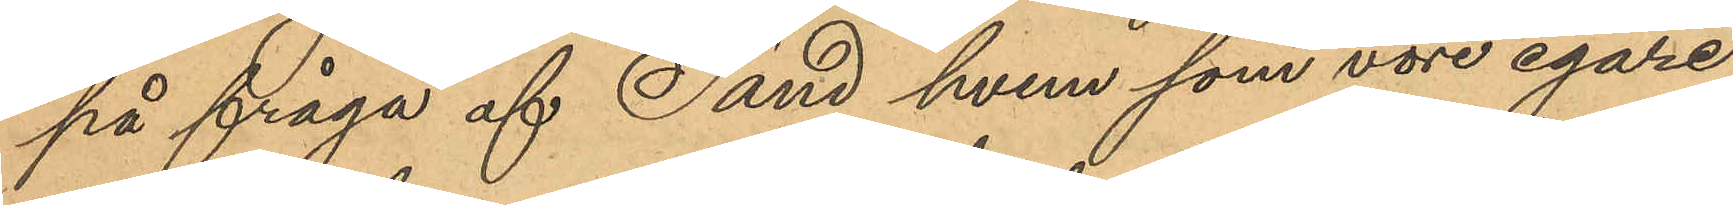på fråga af Sand hvem som vore egare
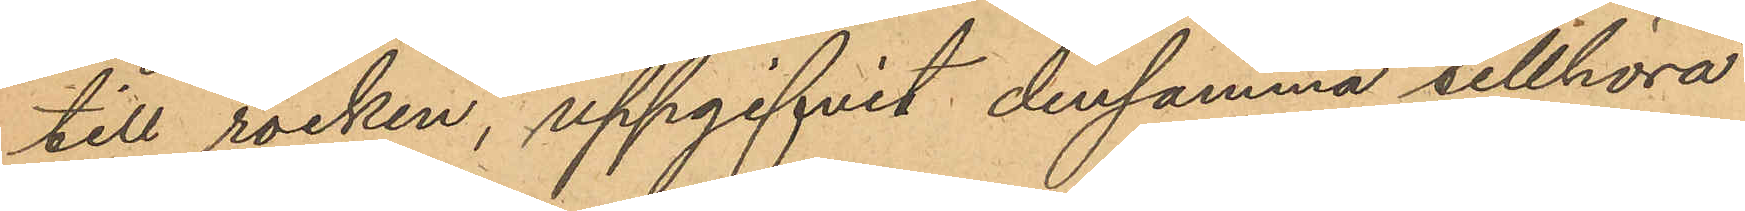till rocken, uppgifvit densamma tillhöra
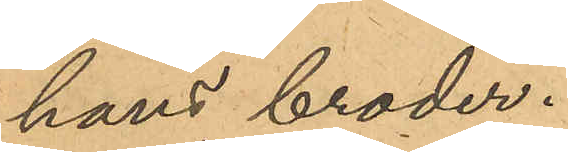hans broder.
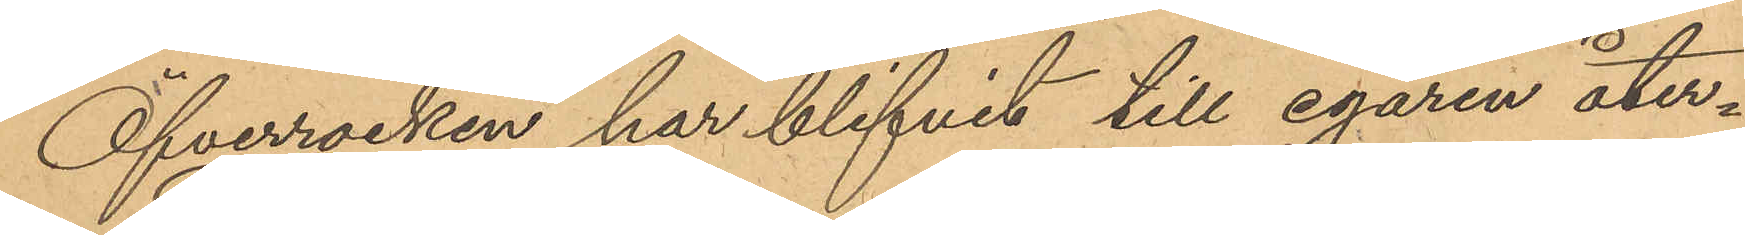Öfverrocken har blifvit till egaren åter¬
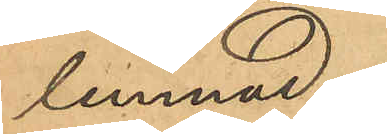lemnad.
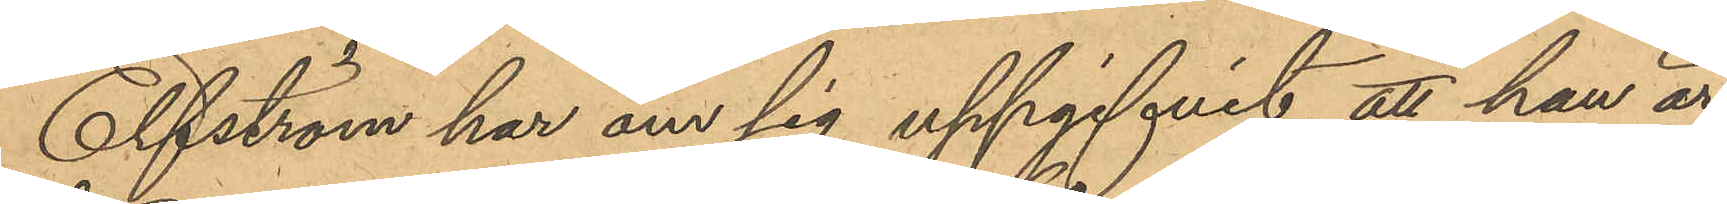Elfström har om sig uppgifvit, att han är
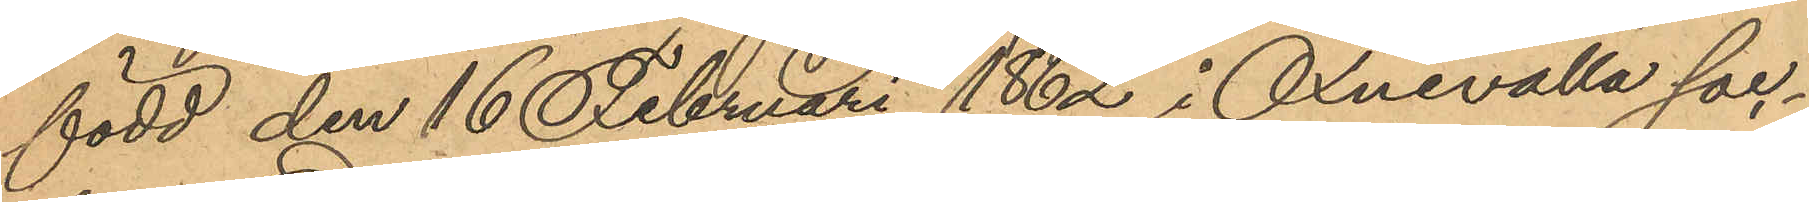född den 16 Februari 1862 i Öxnevalla soc¬
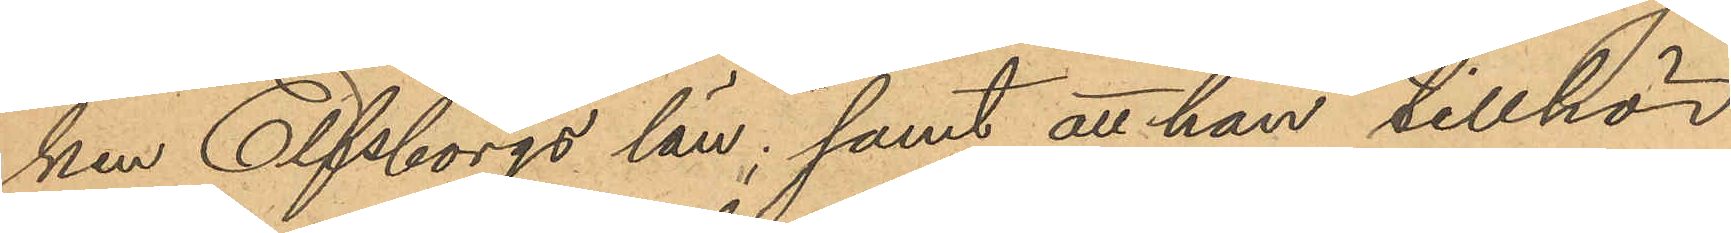ken Elfsborgs län; samt att han tillhör
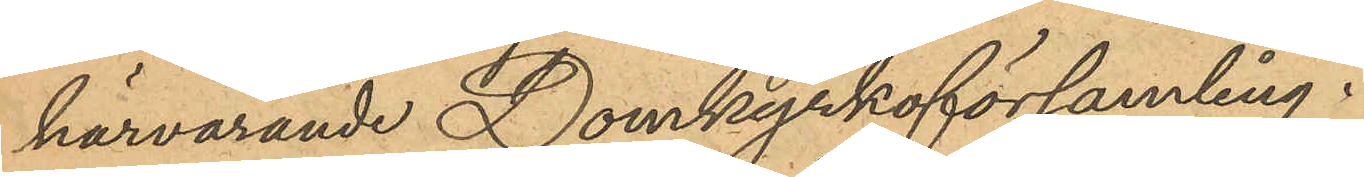härvarande Domkyrkoförsamling.
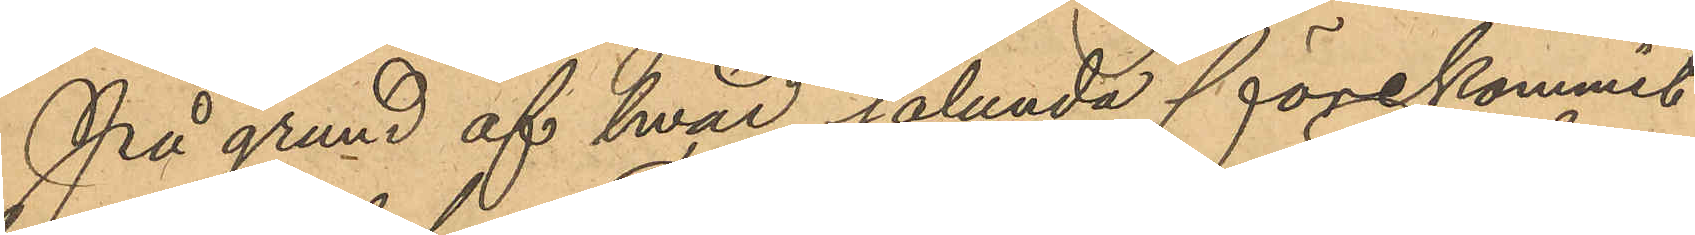På grund af hvad sålunda förekommit
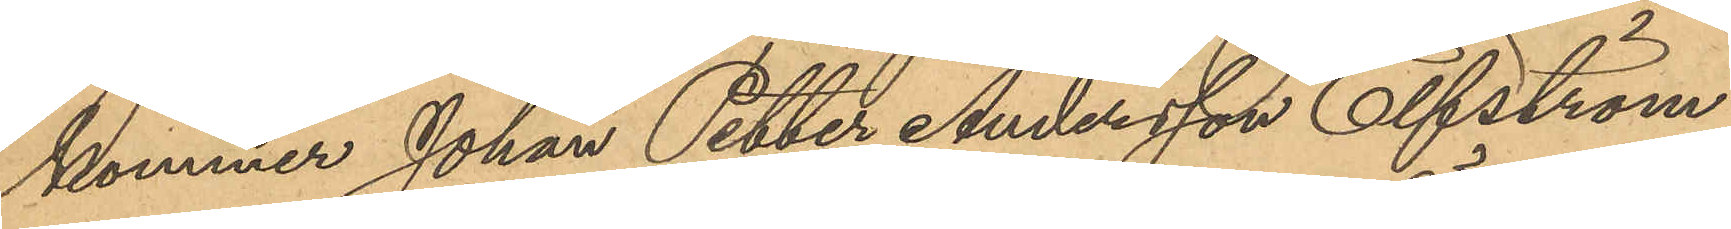kommer Johan Petter Andersson Elfström
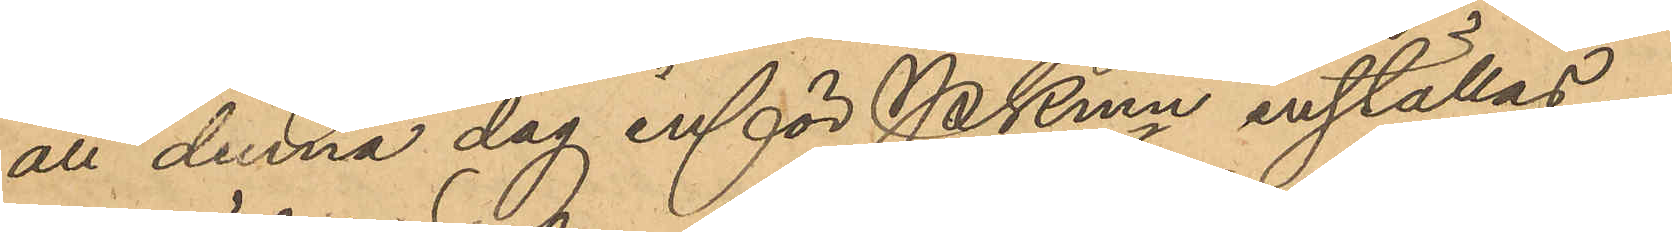att denna dag inför Pkmn inställas.
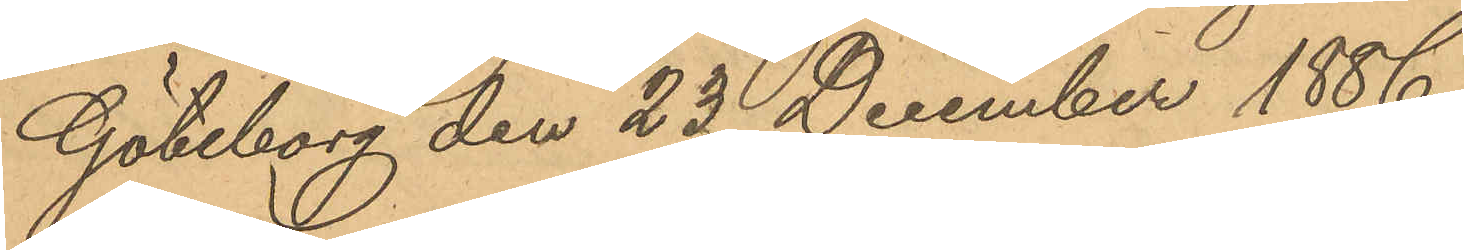Göteborg den 23 December 1886.
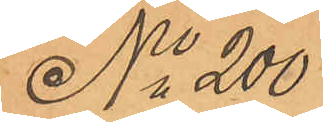No 200
